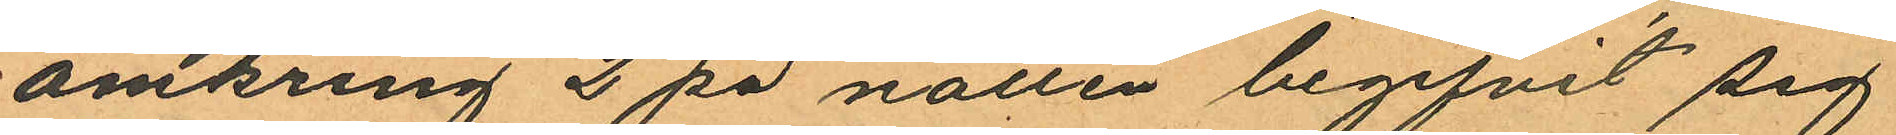omkring 2 på natten begifvit sig
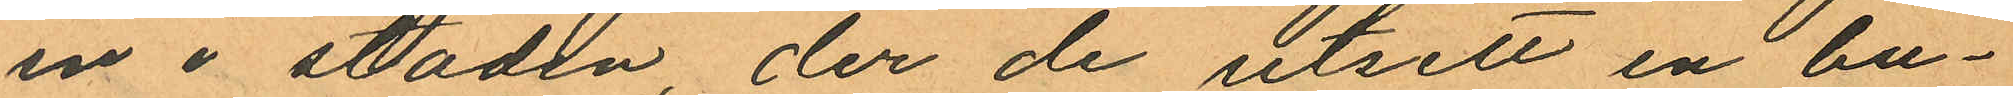in i staden, der de utsett en bu¬
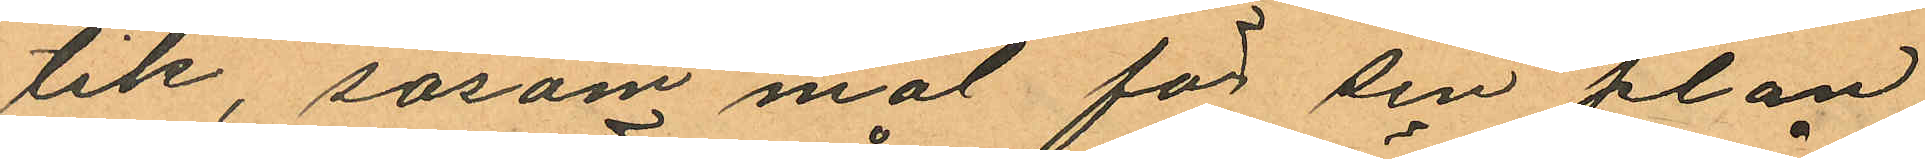tik, såsom mål för sin plan
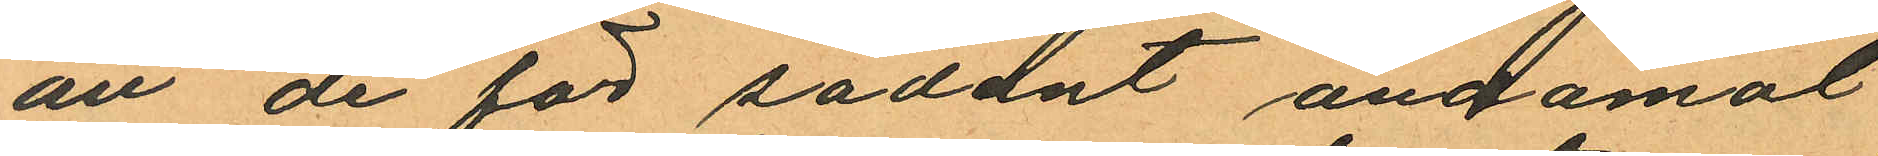att de för sådant ändamål
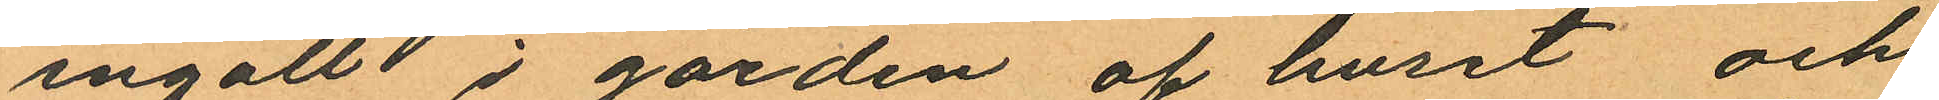ingått i gården af huset och
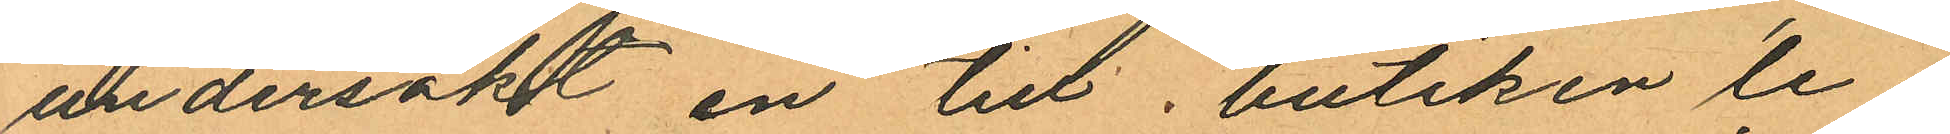undersökt en till, butiken le¬
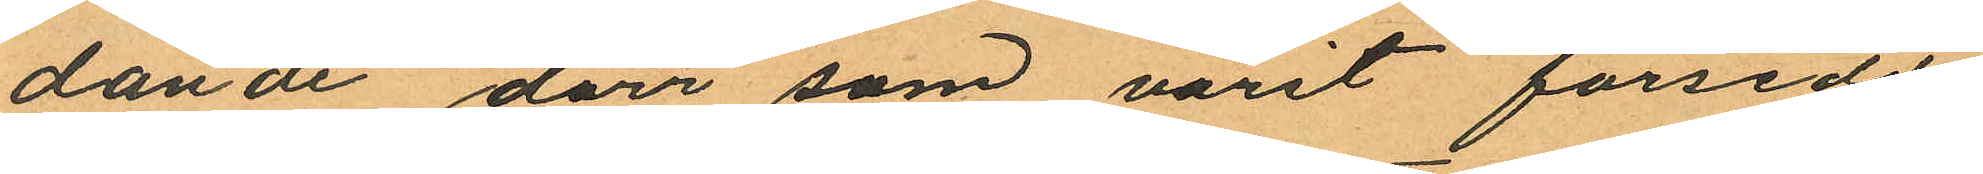dande dörr som varit försedd
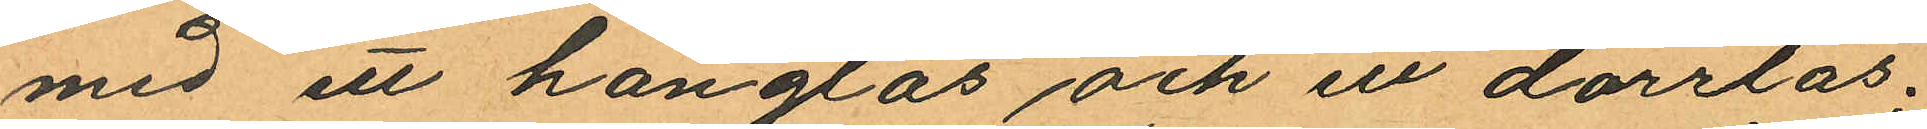med ett hänglås och ett dörrlås;
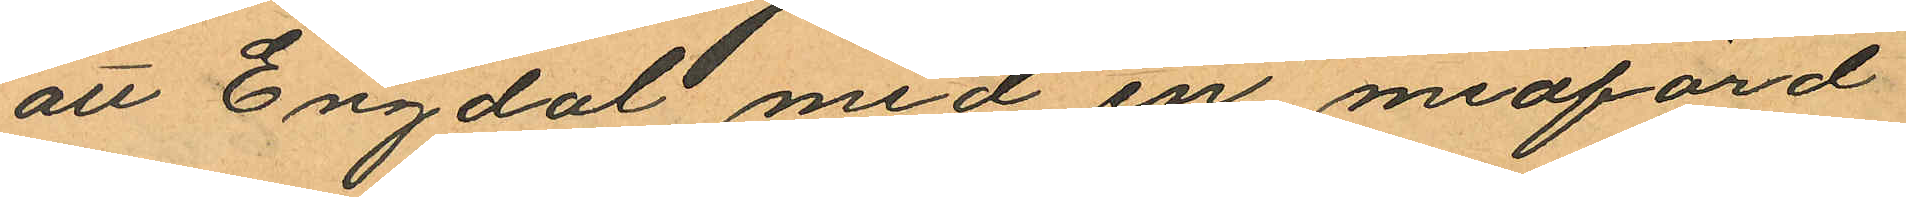att Engdal med en medförd
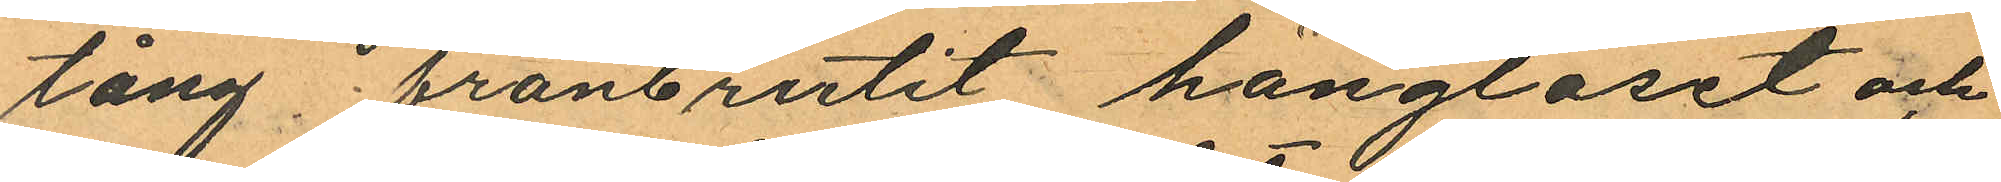tång, frånbrutit hänglåset och
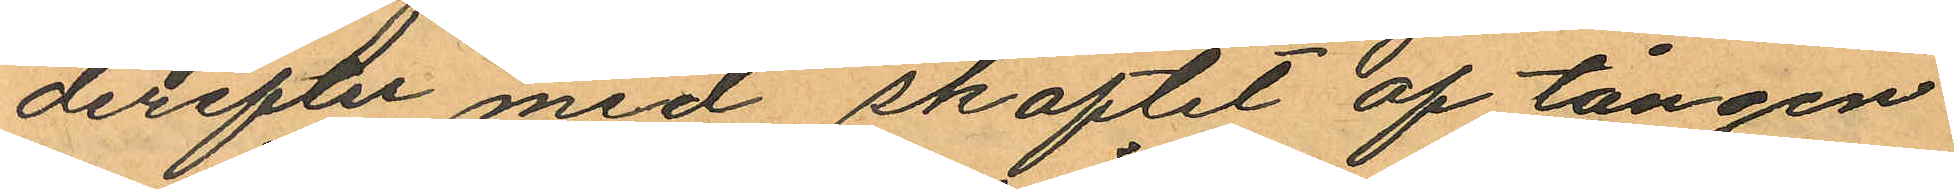derefter med skaftet af tången
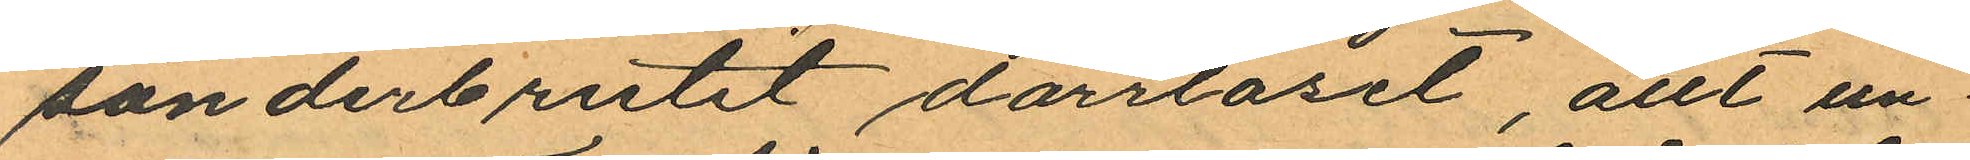sönderbrutit dörrlåset, allt un
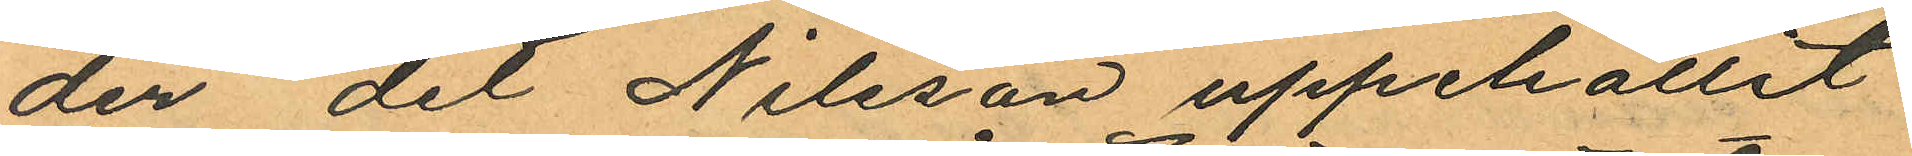der det Nilsson uppehållit
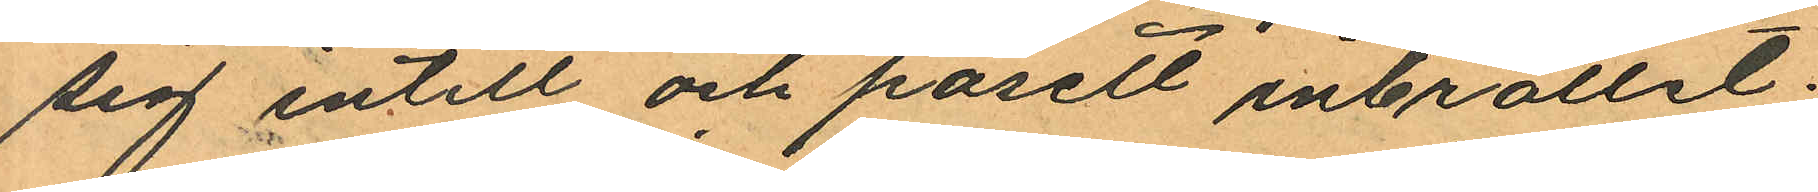sig intill och påsett inbrottet;
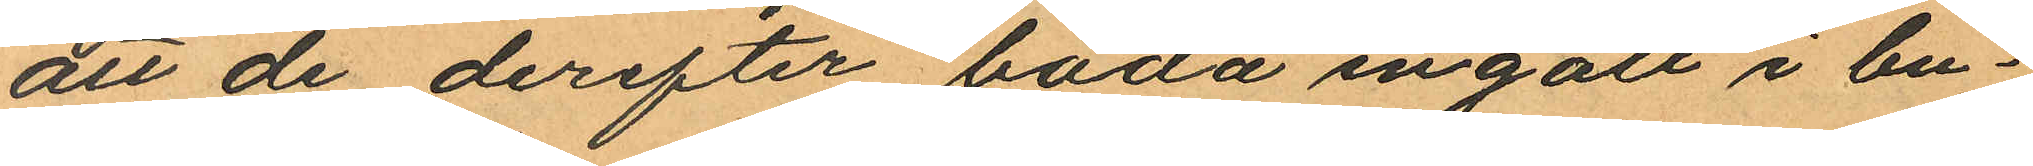att de derefter båda ingått i bu¬
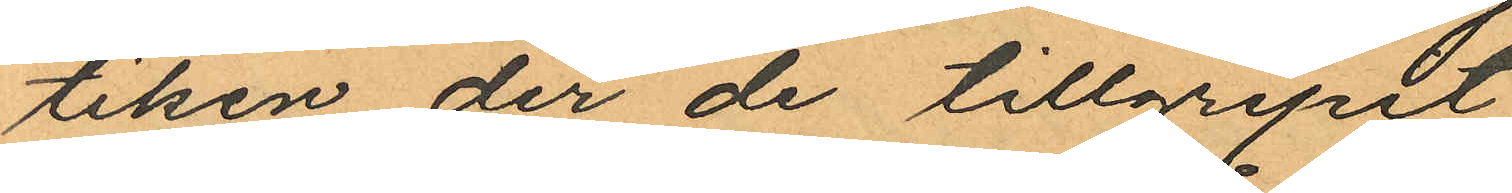tiken der de tillgripit
